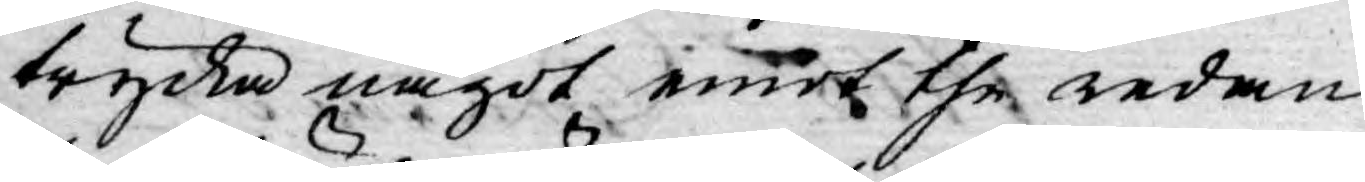trycka något emot the redan
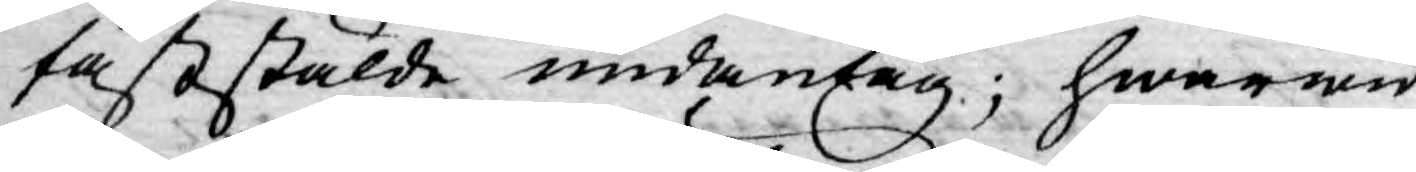faststälde undantag; hwarwid
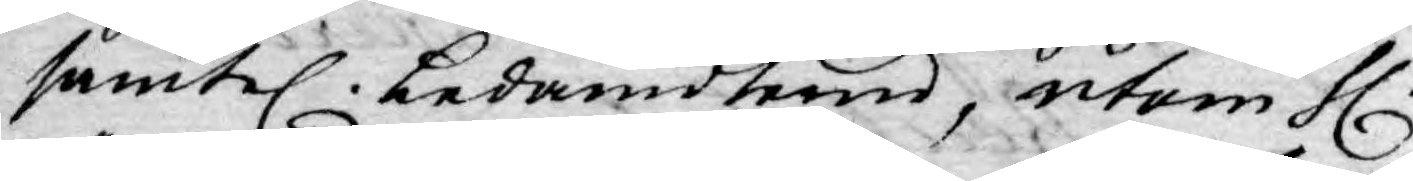samtel. Ledamöterne, utom H.
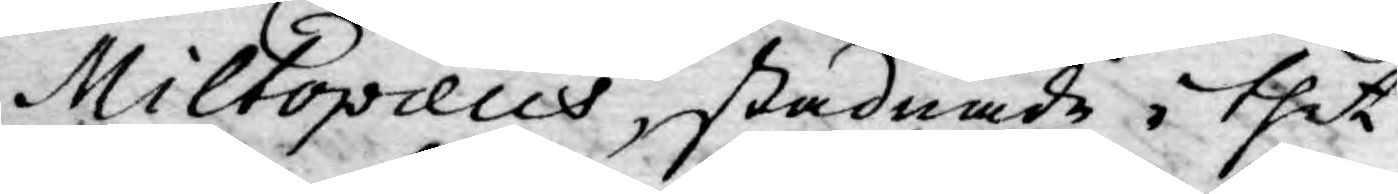Miltopæus, stadnade i thet
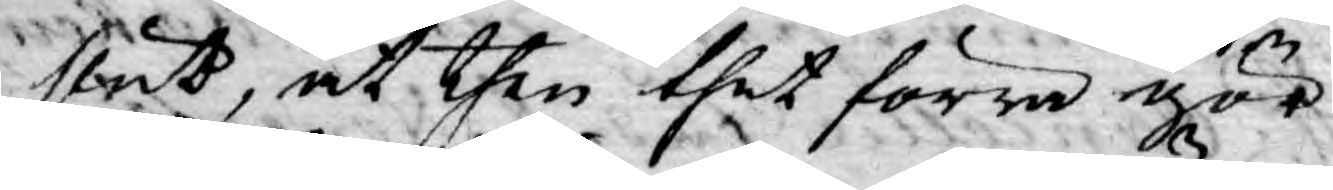slut, at then thet förra gör,
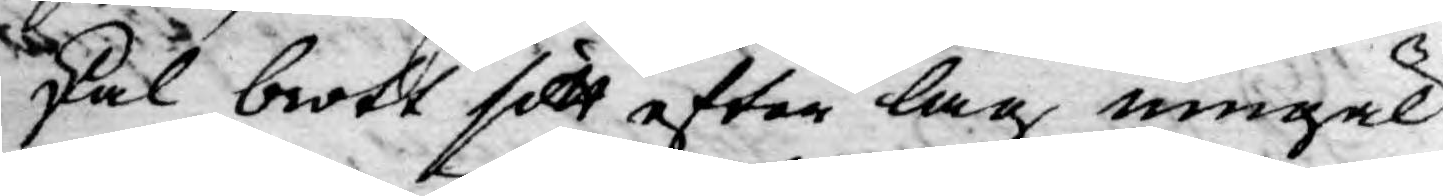skal brott sitt efter lag umgäl¬
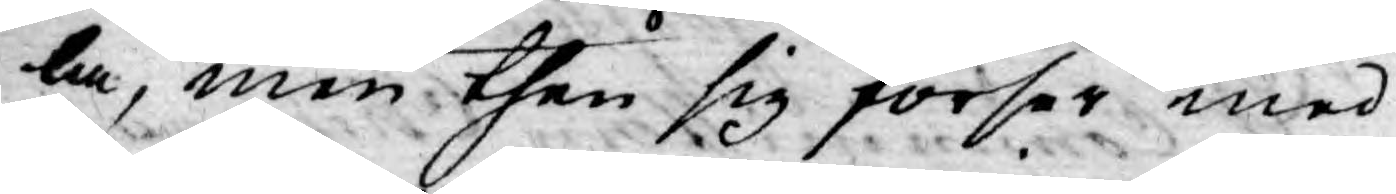la, men then sig förser med
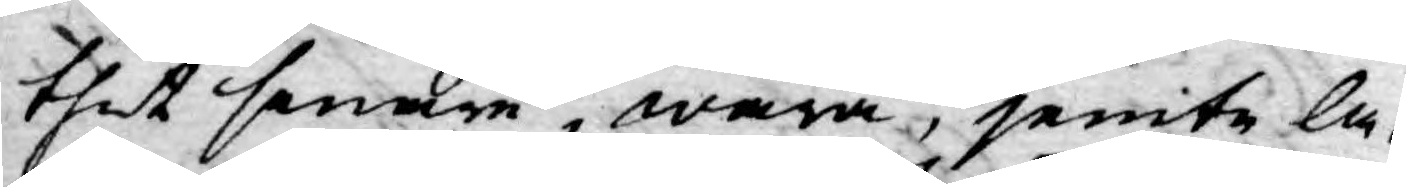thet senare, wara, jemte la¬
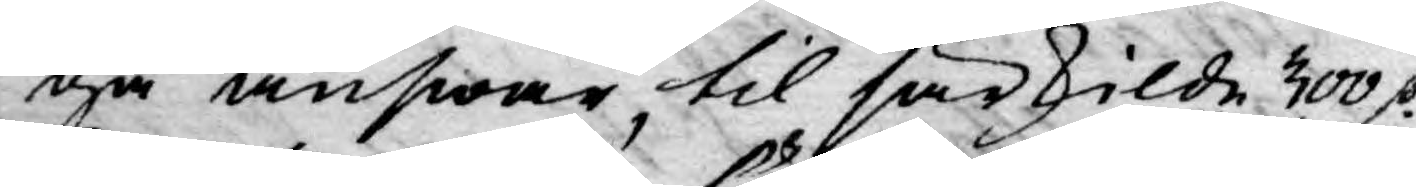ga answar til särskilde 300 D:r
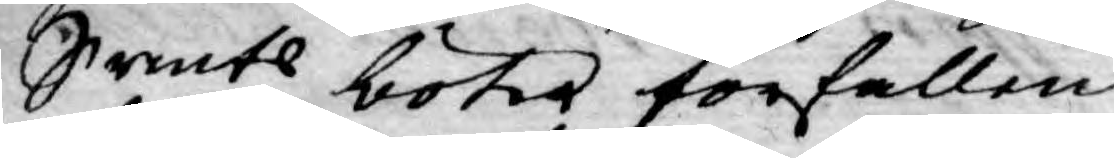Srmts böter förfallen;
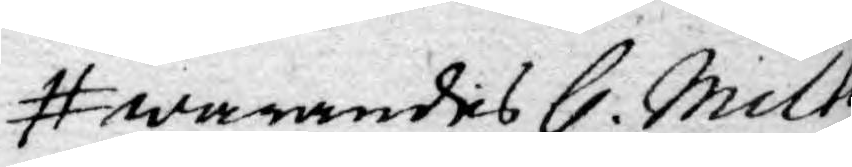warandes H. Milto¬
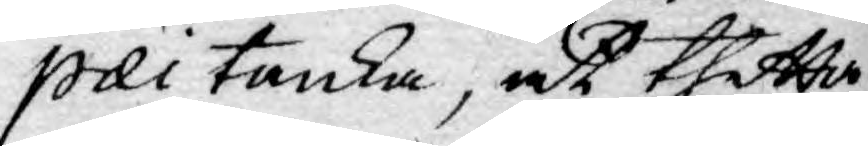pæi tanka, at thetta
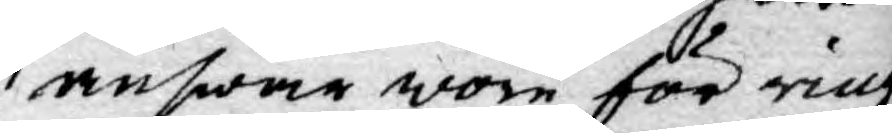answar wore för ringa
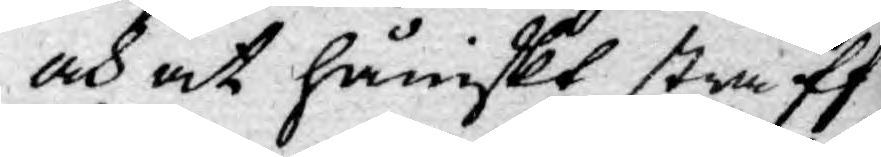och at håniskt straff
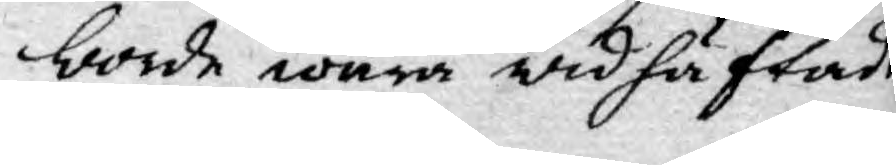borde wara widhäftadt
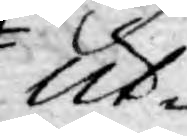Ut¬
